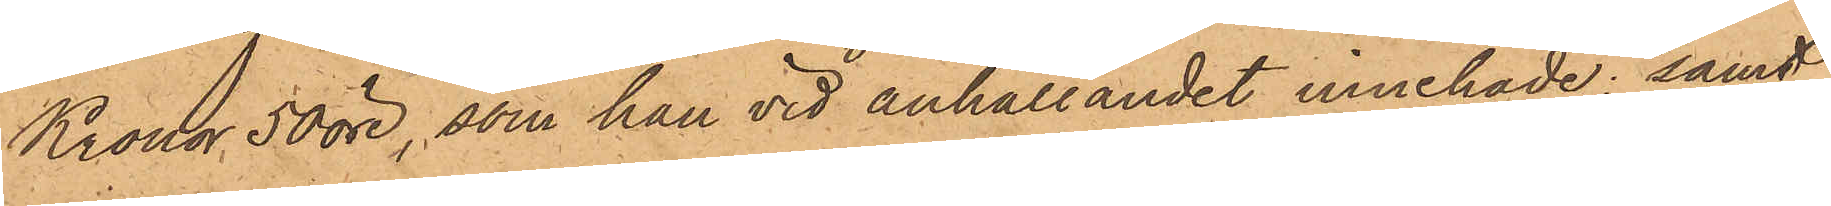Kronor 50 öre, som han vid anhållandet innehade; samt
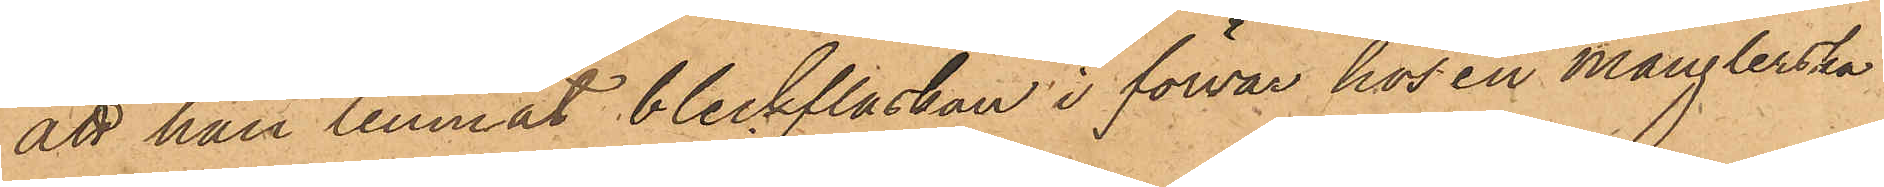att han lemnat bleckflaskan i förvar hos en månglerska
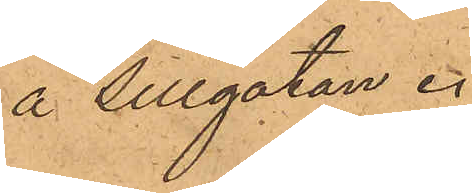å Sillgatan.
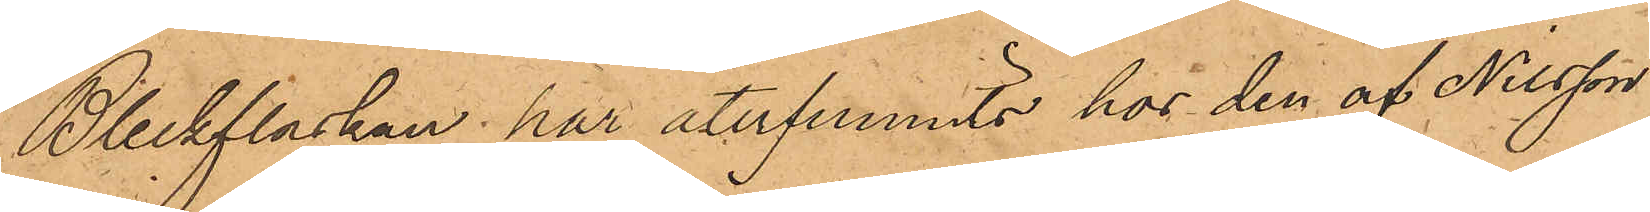Bleckflaskan, har återfunnits hos den af Nilsson
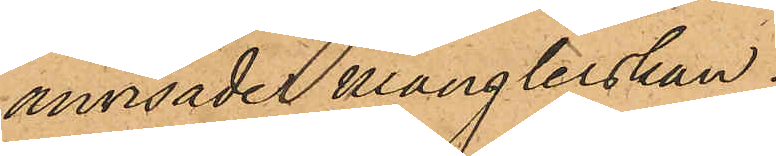anvisade månglerskan.
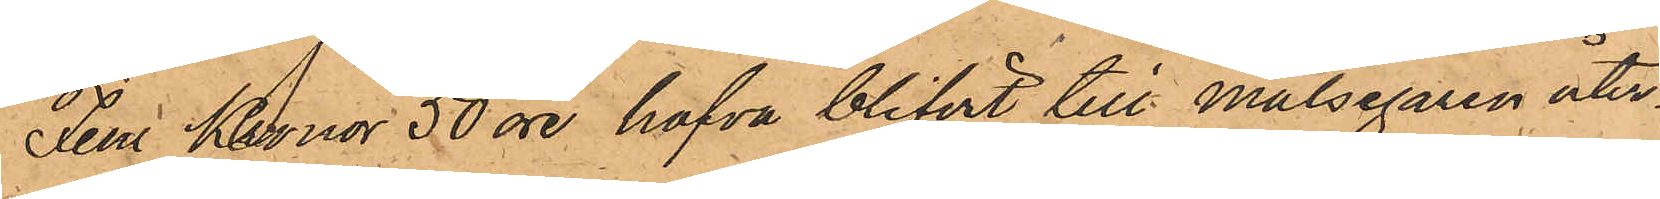Fem Kronor 50 öre, hafva blifvit till Målsegaren åter¬
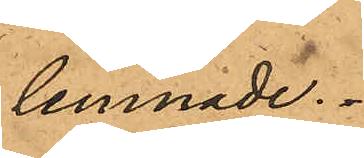lemnade.
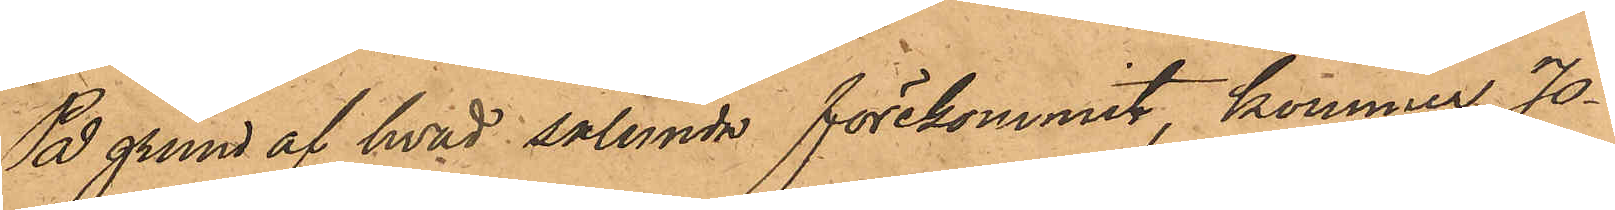På grund af hvad sålunda förekommit, kommer Jo¬
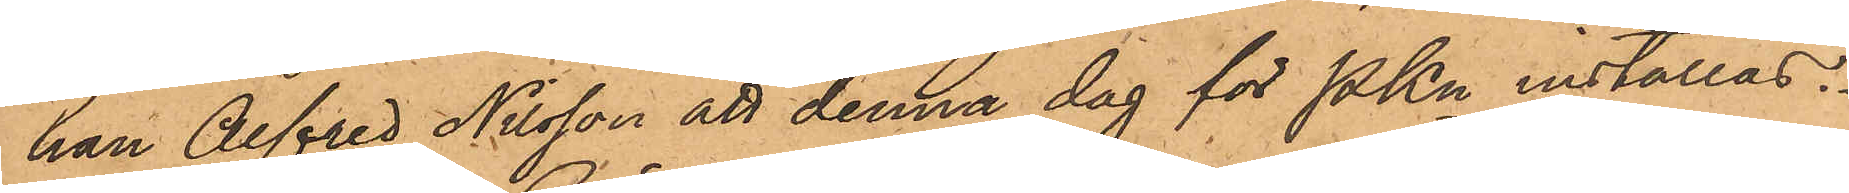han Alfred Nilsson att denna dag för PKn inställas.
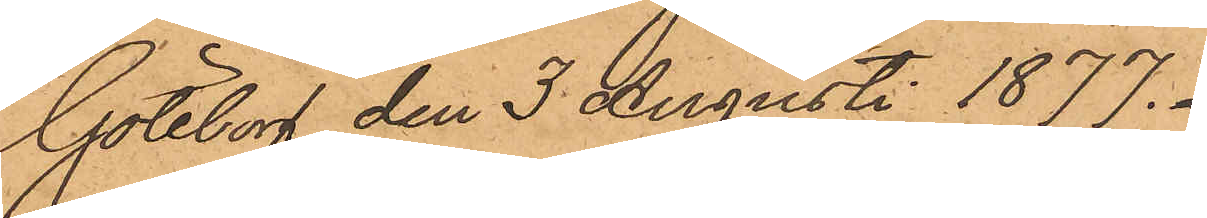Göteborg den 3 Augusti 1877.
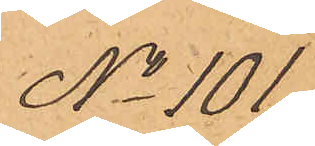No 101
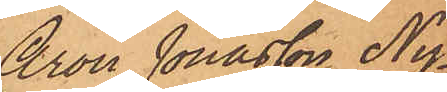Aron Jonasson Ny¬
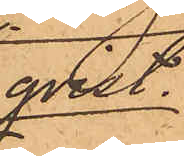qvist.
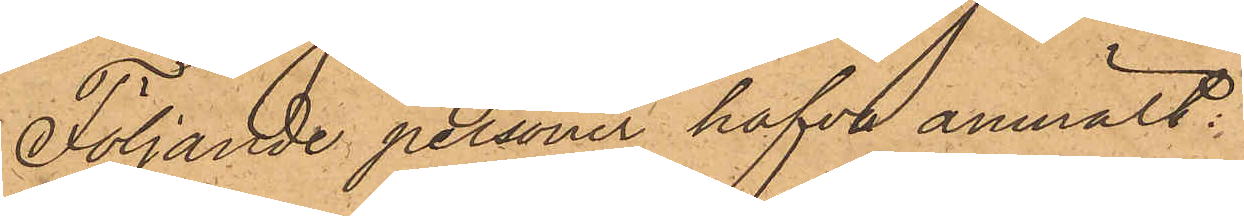Följande personer hafva anmält:
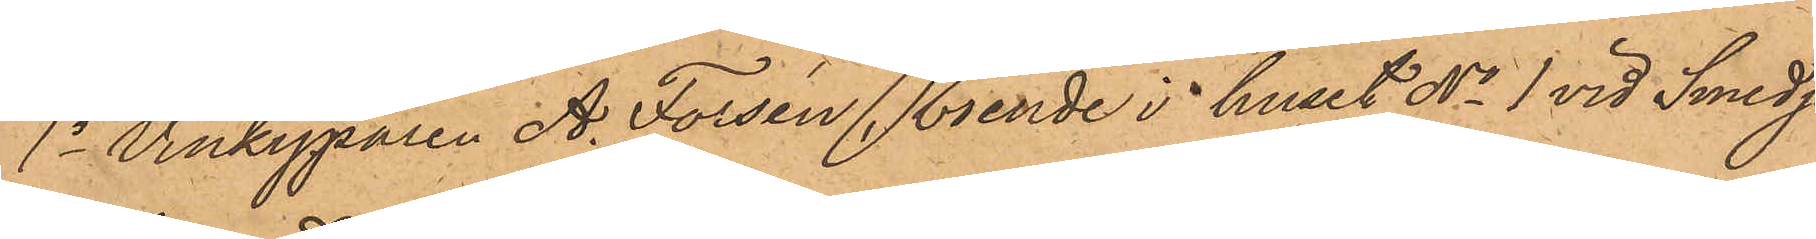1o Vinkyparen A. Forsén, boende i huset No 1 vid Smedje¬
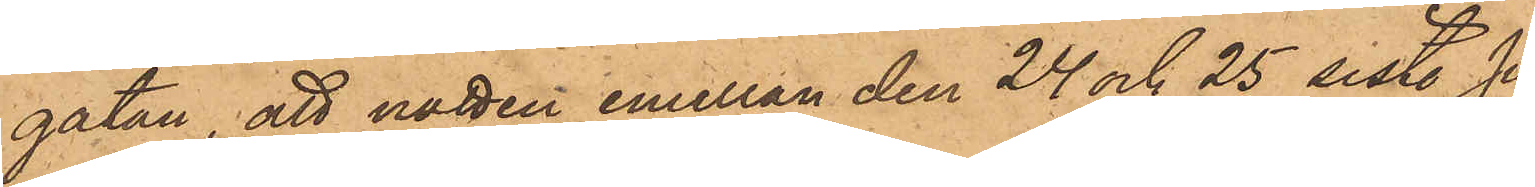gatan, att natten emellan den 24 och 25 sist. Juli ur err
